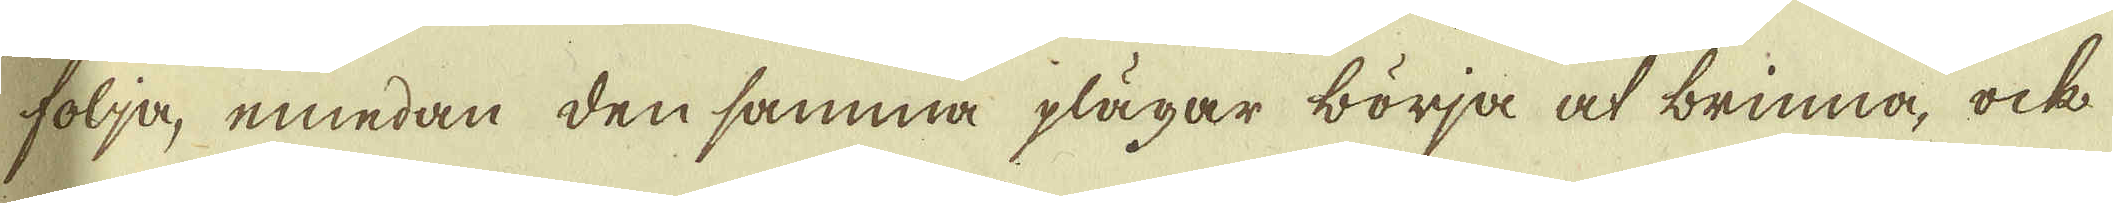följa, emedan den samma plägar börja at brinna, ock
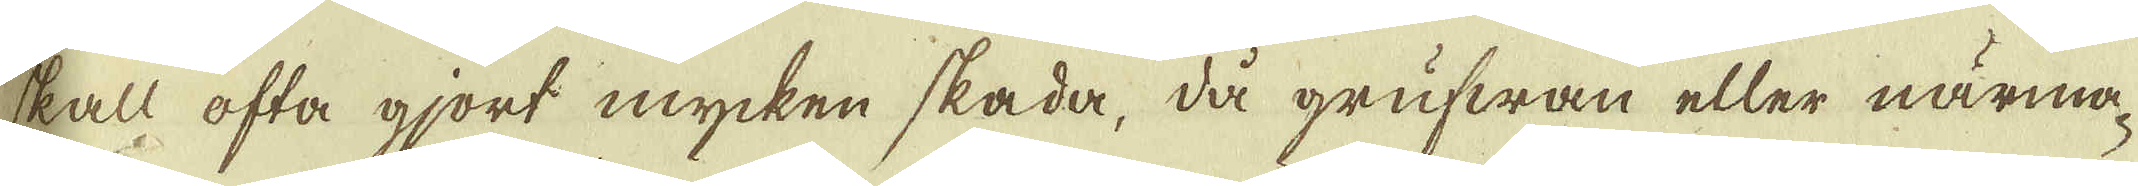skall ofta gjort mycken skada, då grufwan eller närma-
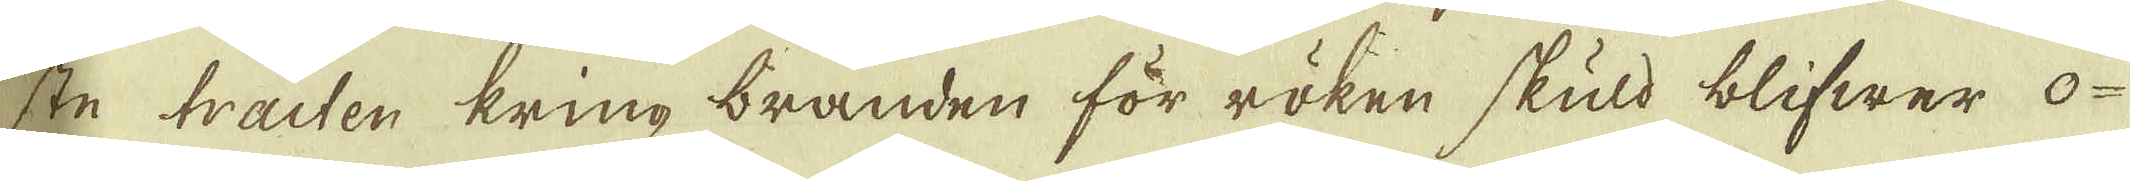ste tracten kring branden för röken skuld blifwer o-
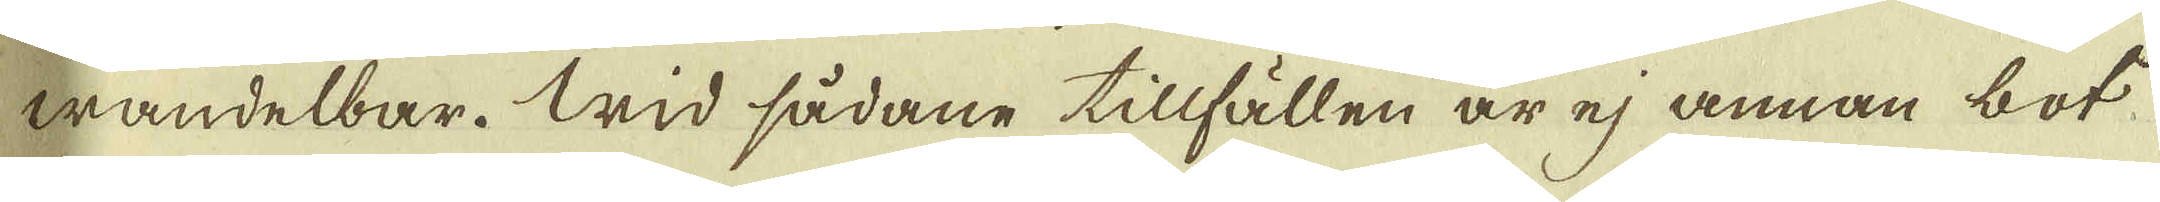wandelbar. Wid sådane tillfällen är ej annan bot
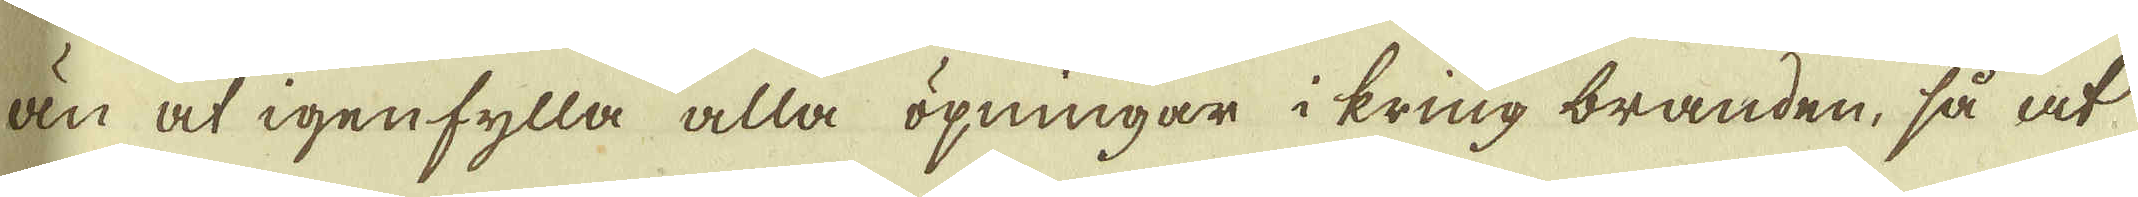än at igenfylla alla öpningar i kring branden, så at
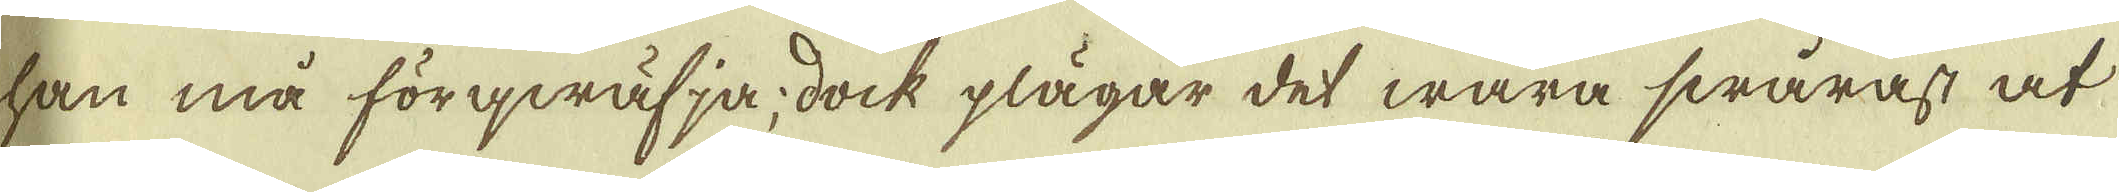han må förqwäfja; dock plägar det wara swårast at
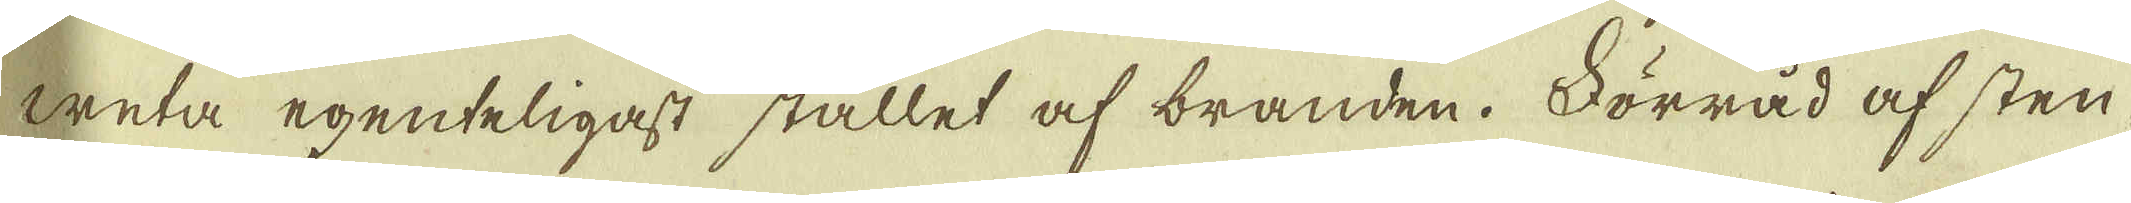weta egenteligast stället af branden. Förråd af sten
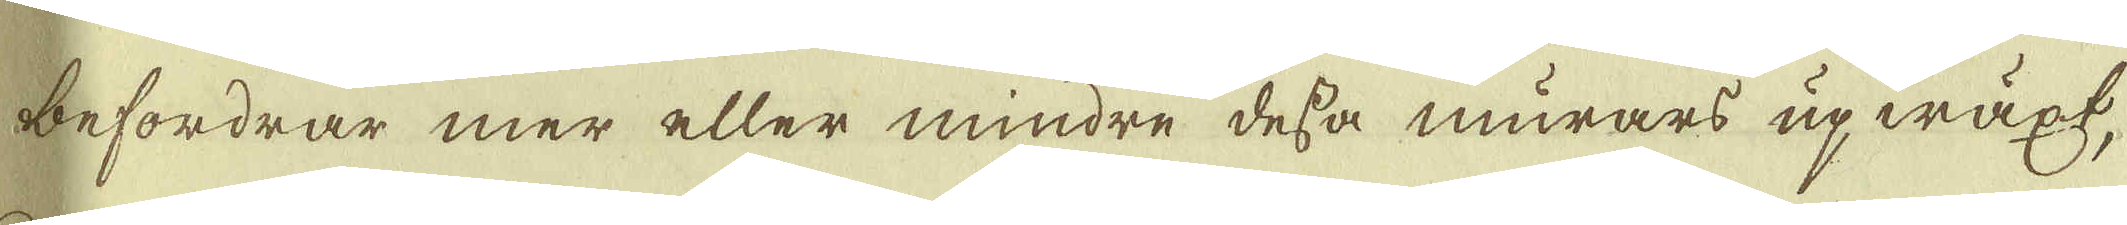befordrar mer eller mindre dessa murars upwäxt,
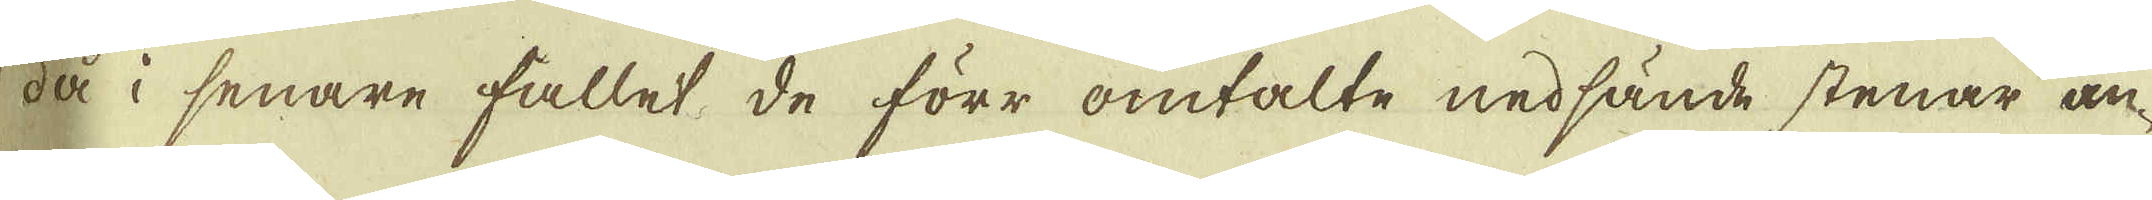då i senare fallet de förr omtalte nedsände stenar an-
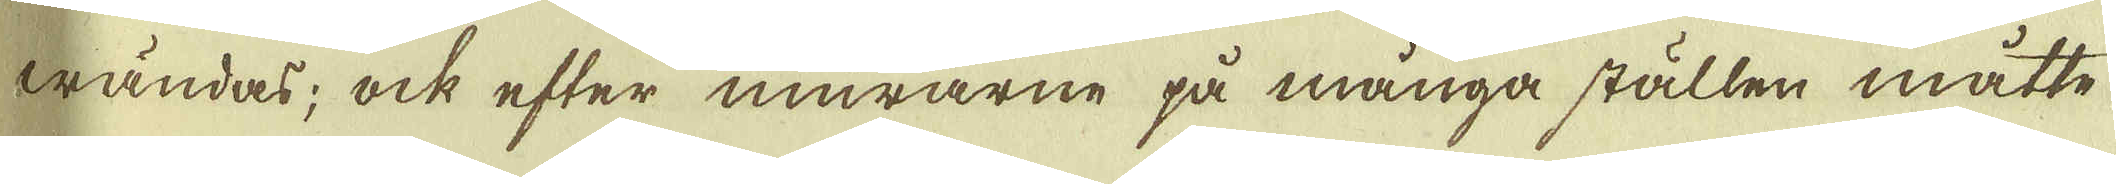wändas; ock efter murarne på många ställen måtte
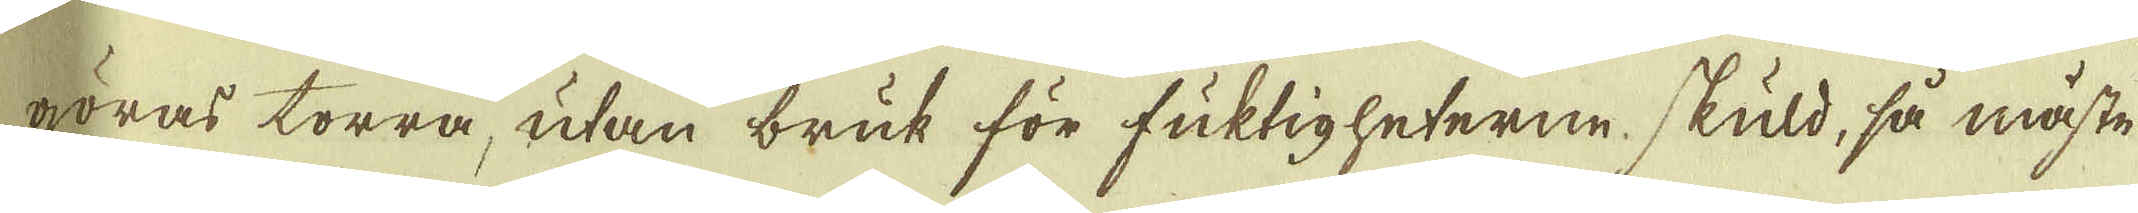göras torra, utan bruk för fuktigheterne skuld, så måste
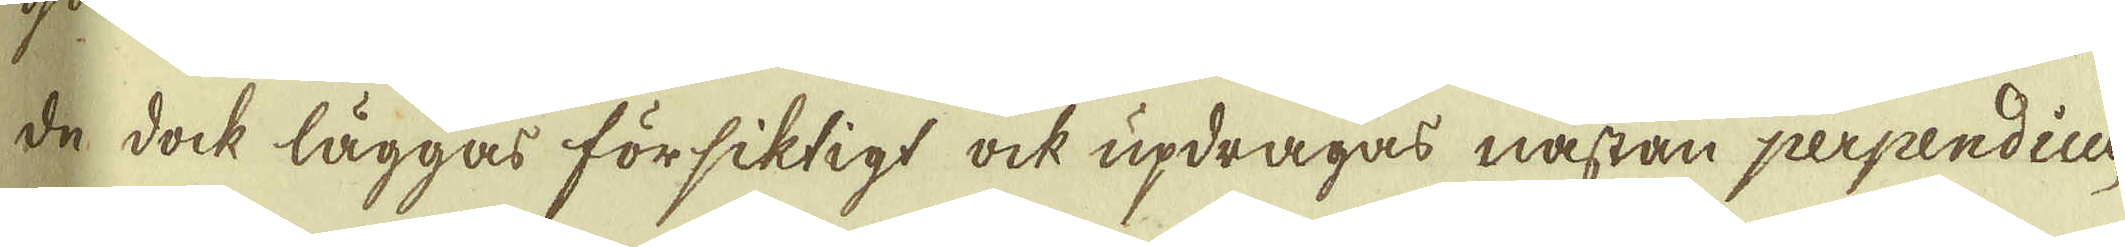de dock läggas försiktigt ock updragas nästan perpendicu-
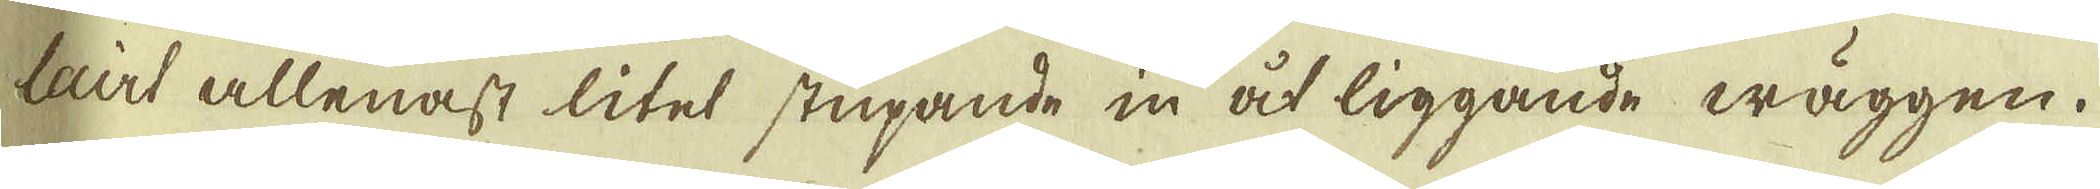lairt allenast litet stupande in åt liggande wäggen.
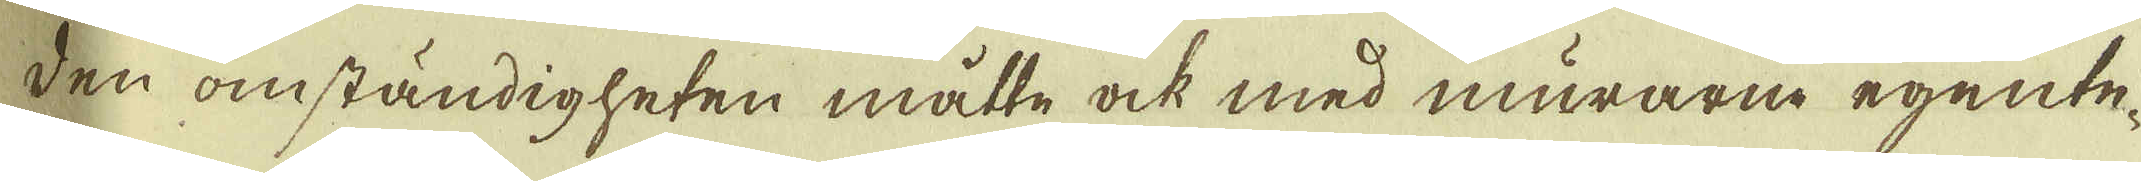Den omständigheten måtte ock med murarne egente-
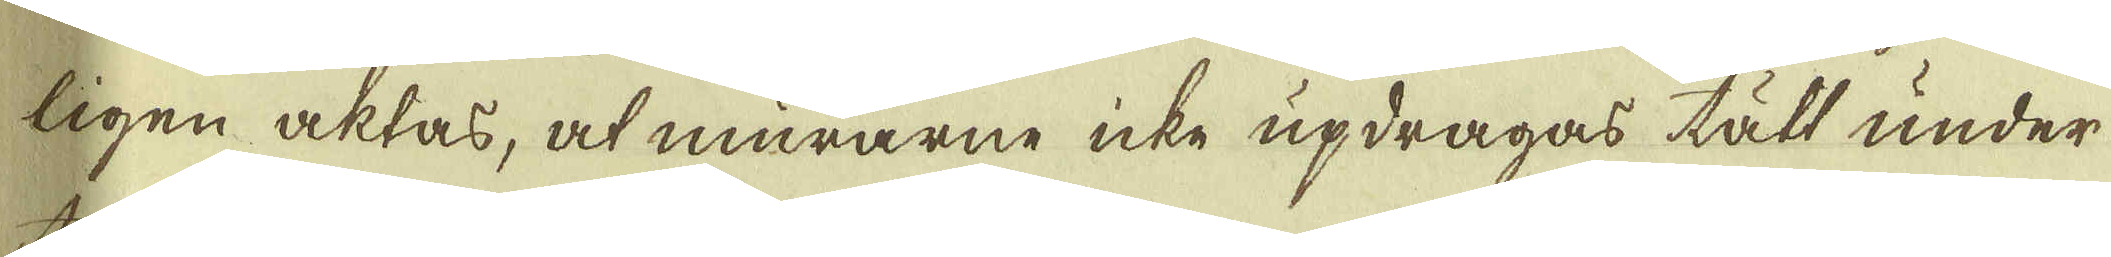ligen aktas, at murarne icke updragas till under
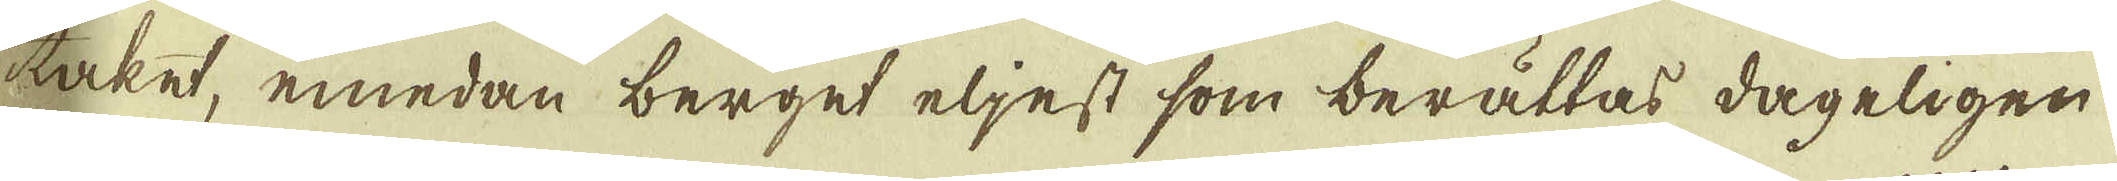taket, emedan berget eljest som berättas dageligen
